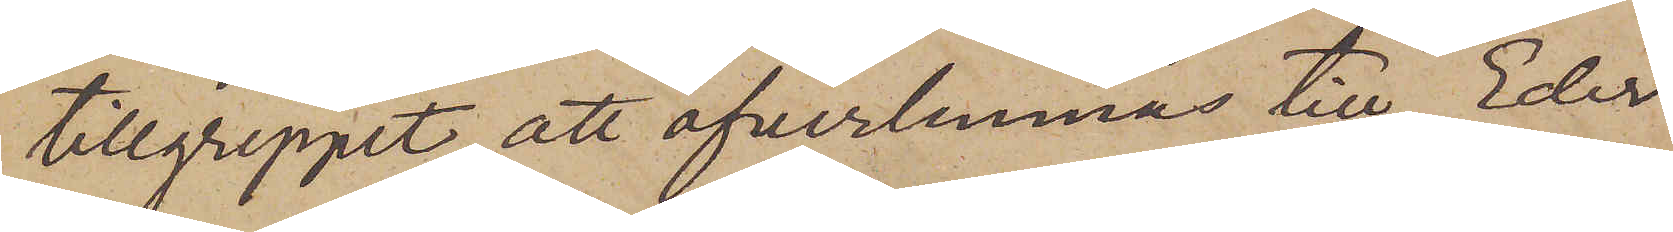tillgreppet, att öfverlemnas till Eder
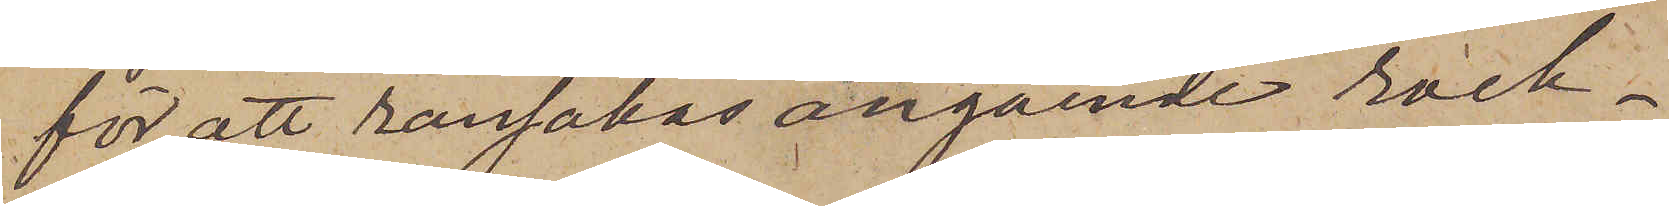för att ransakas angående rock¬
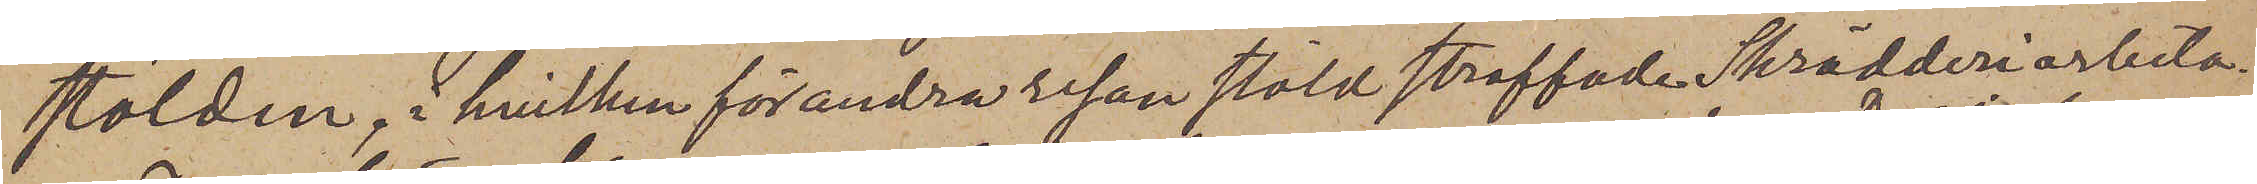stölden, hvilken för andra resan stöld straffade Skrädderiarbeta¬
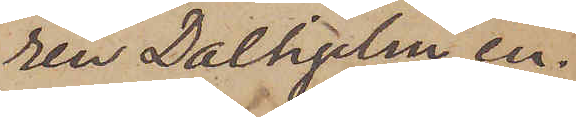ren Dalhjelm en¬
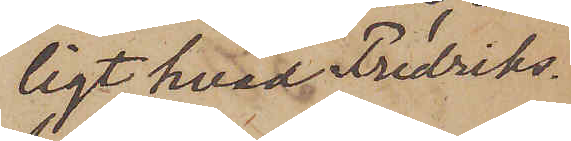ligt hvad Fredriks¬
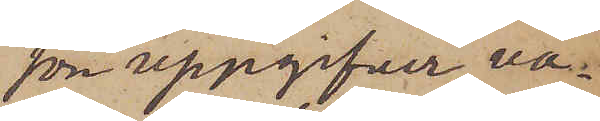son uppgifvit va¬
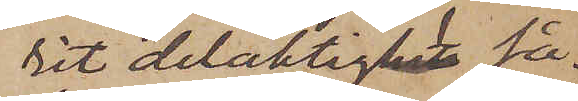rit delaktig så¬
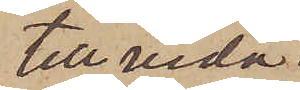tillvida
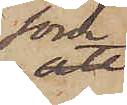som
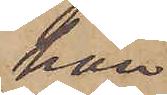han
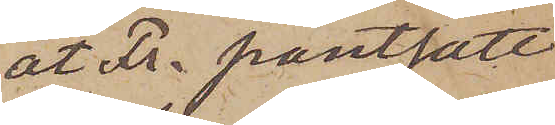åt Fr. pantsatt
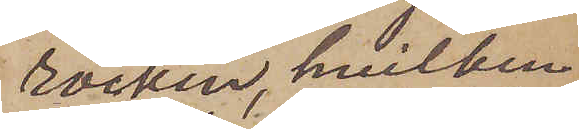rocken, hvilken
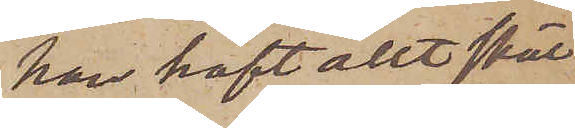han haft allt skäl
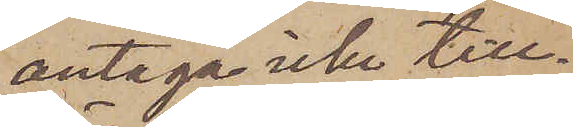antaga icke till¬
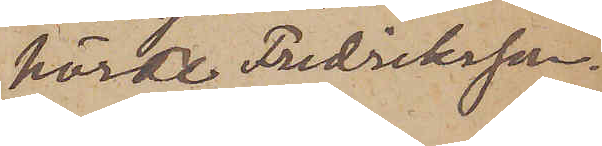hörde Fredriksson.
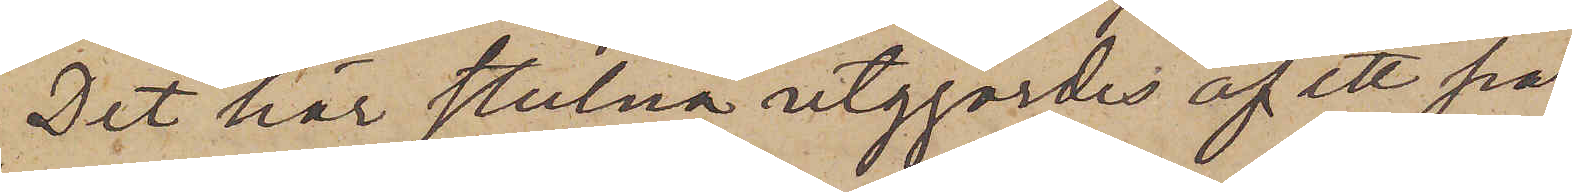Det här stulna utgjordes af ett par
